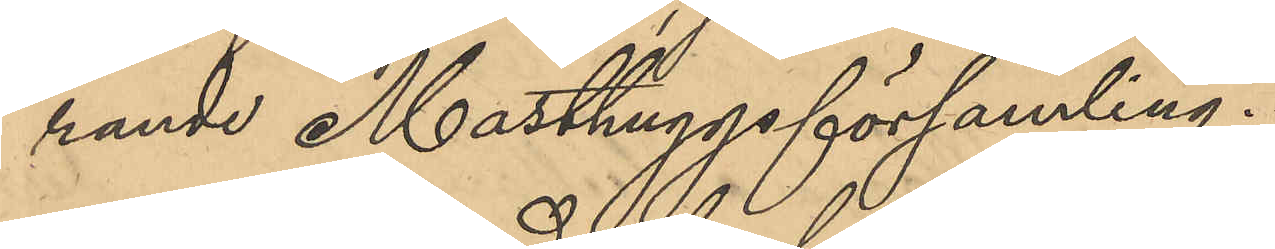rande Masthuggsförsamling.
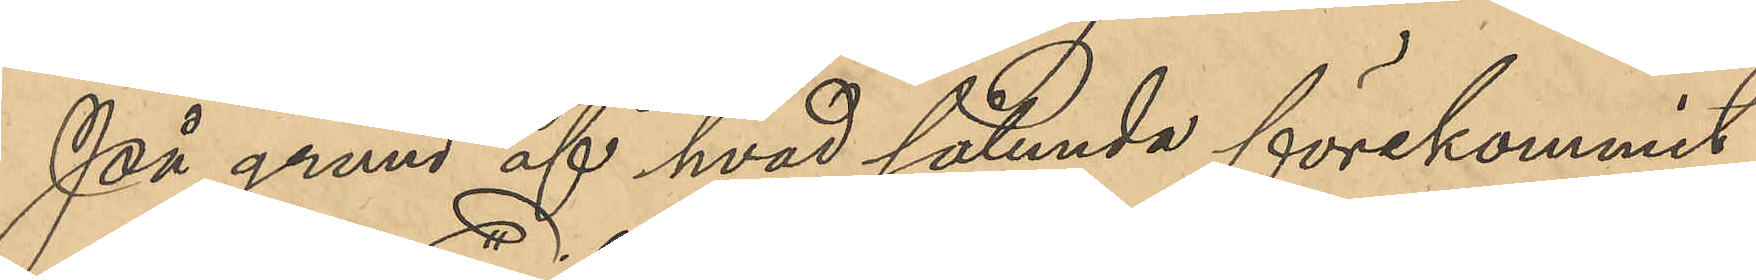På grund af hvad sålunda förekommit
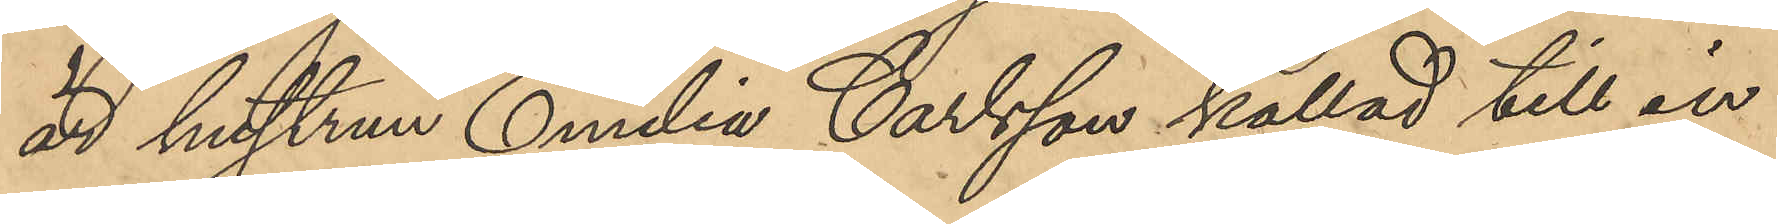är hustrun Emilia Carlsson kallad till in¬
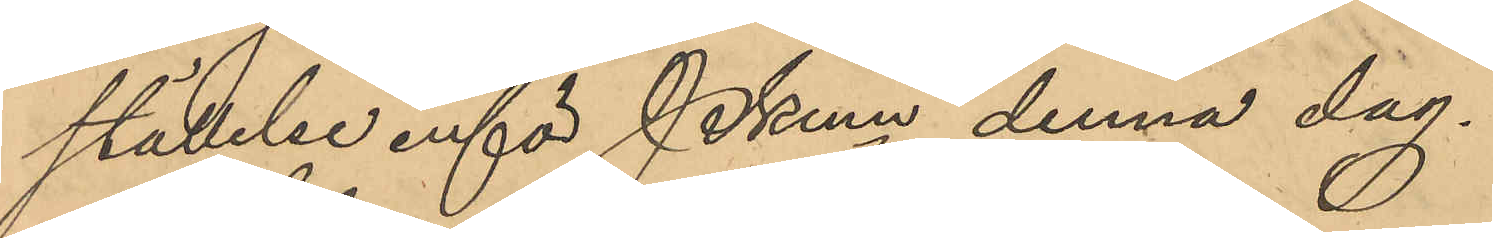ställelse inför PKmn denna dag.
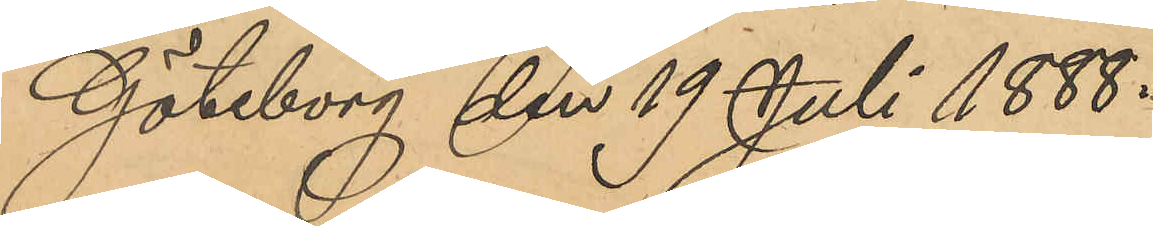Göteborg den 19 Juli 1888.
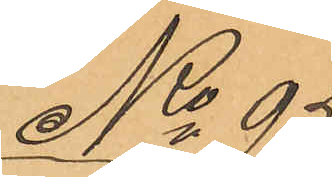No 95
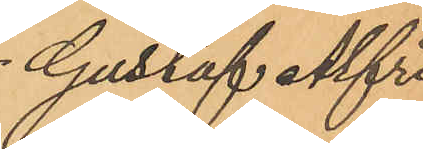Gustaf Alfred
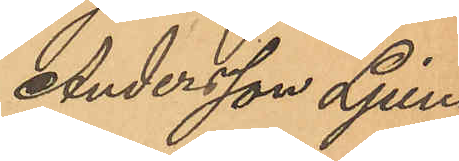Andersson Ljung¬
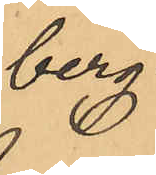berg.
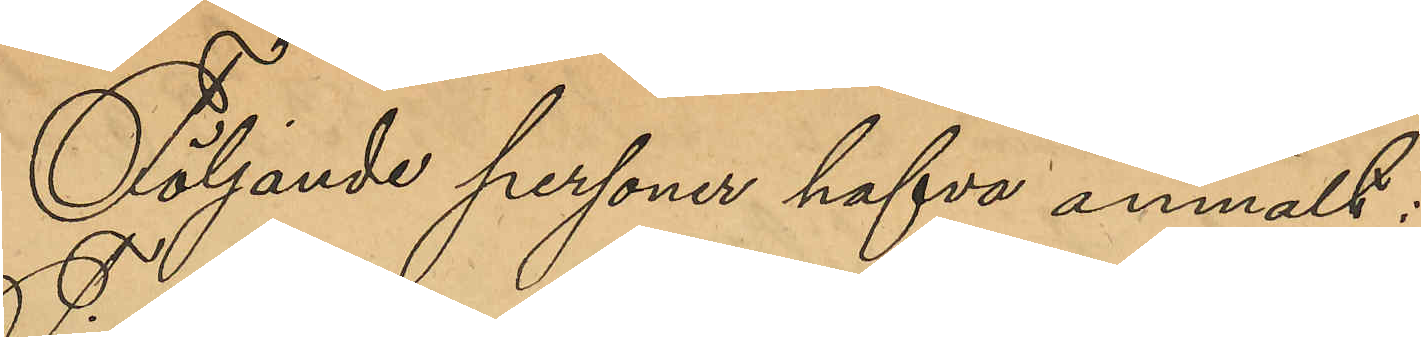Följande personer hafva anmält:
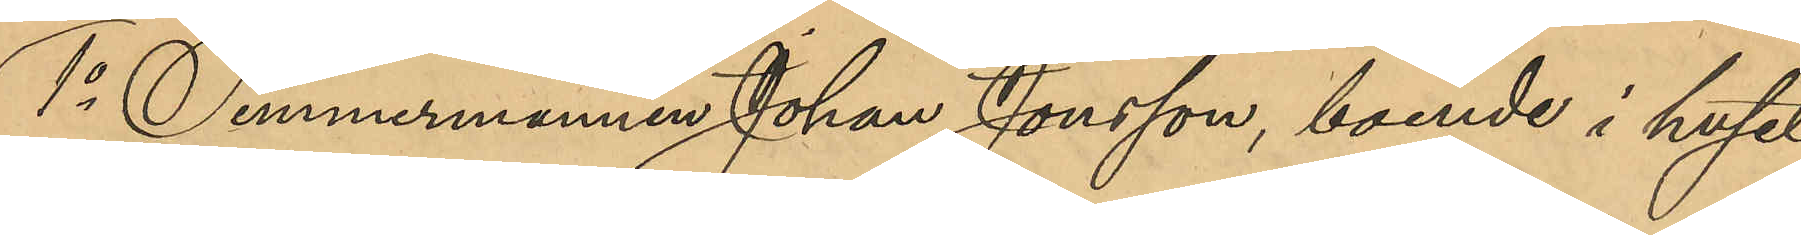1o Timmermannen Johan Jonsson, boende i huset
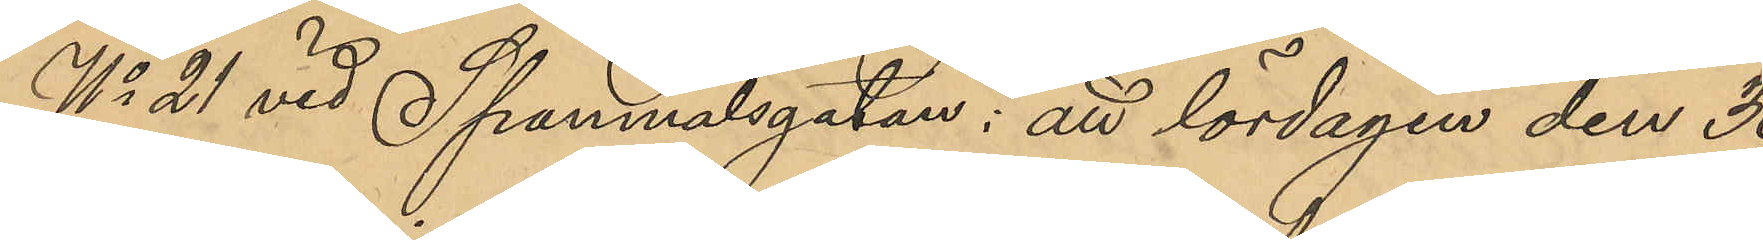No 21 vid Spannmålsgatan: att lördagen den 30
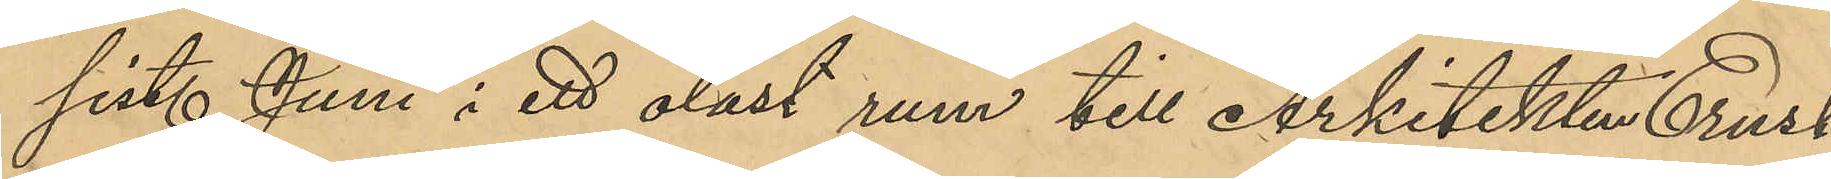sist. Juni i ett olåst rum till Arkitekten Ernst
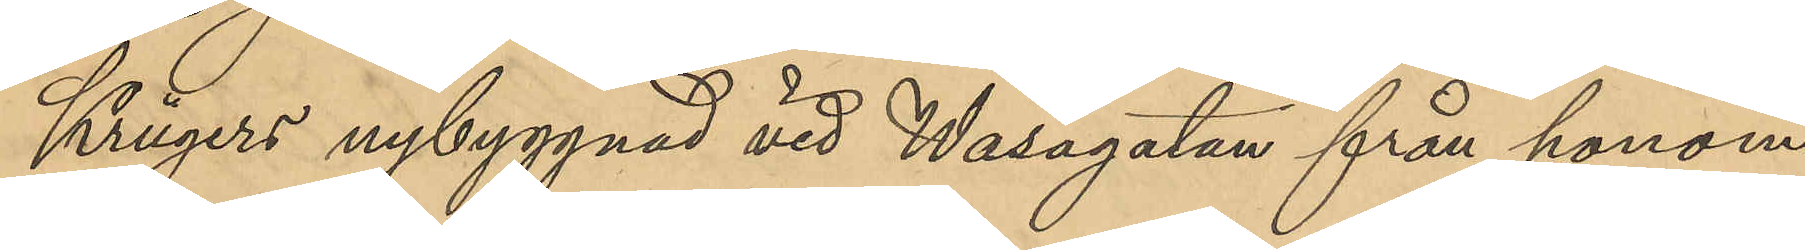Krügers nybyggnad vid Wasagatan från honom
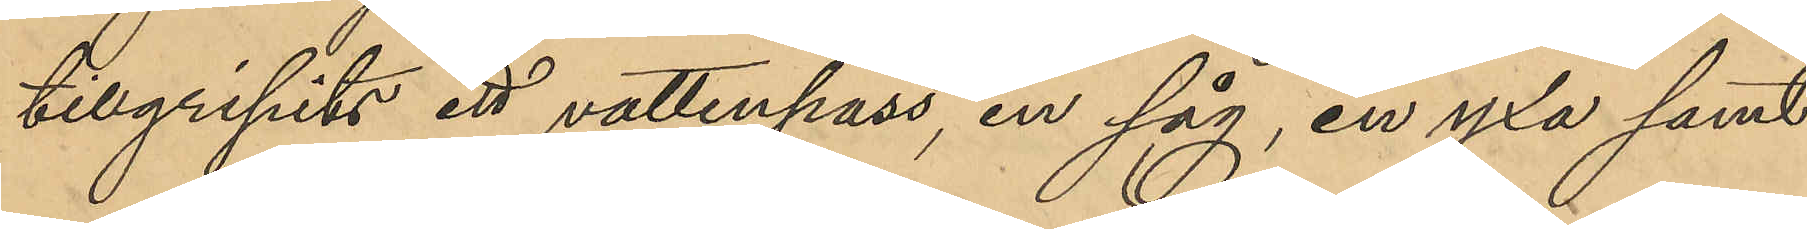tillgripits ett vattenpass, en såg, en yxa samt
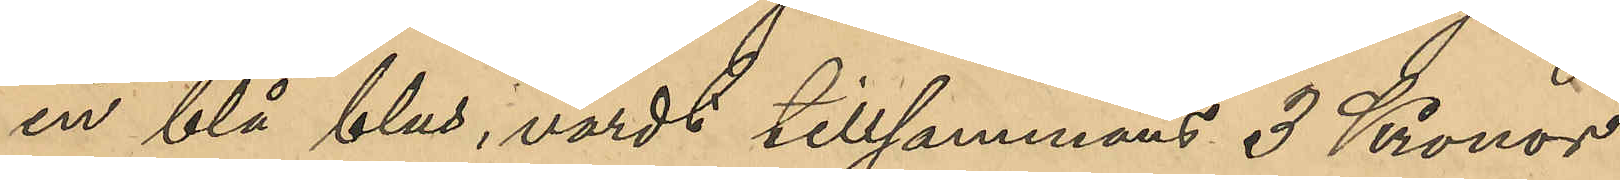en blå blus, värdt tillsammans 3 Kronor
